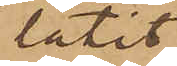låtit
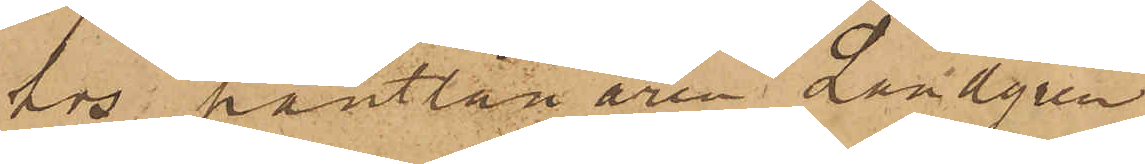hos pantlånaren Landgren
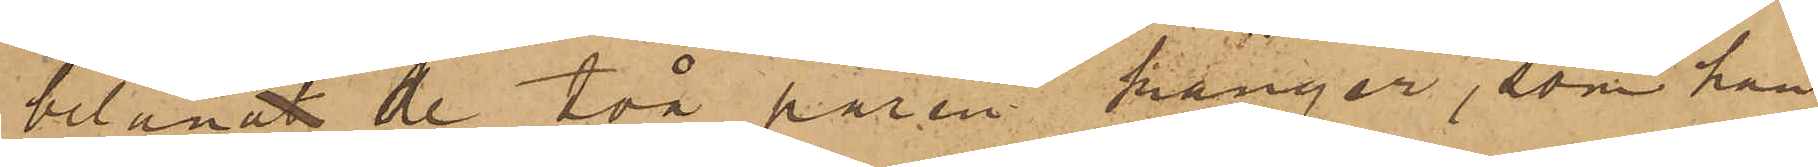belånat de två paren känger, som han
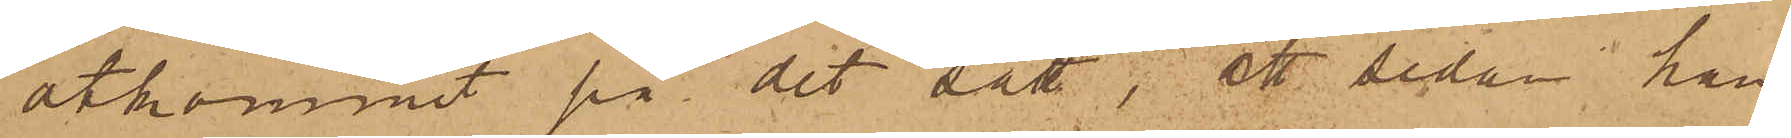åtkommit på det sätt; att sedan han
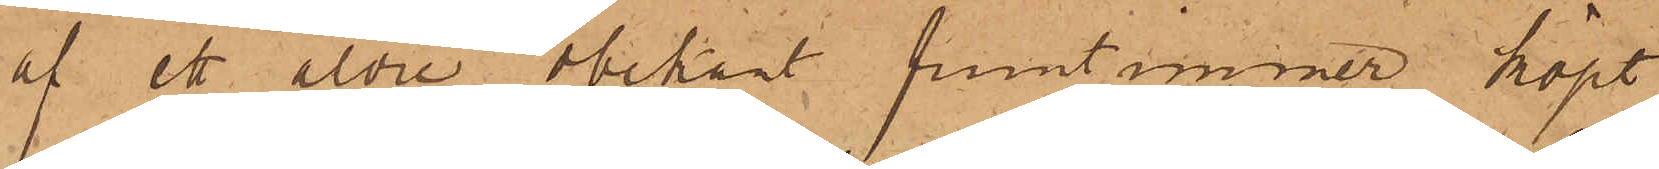af ett äldre obekant fruntimmer köpt
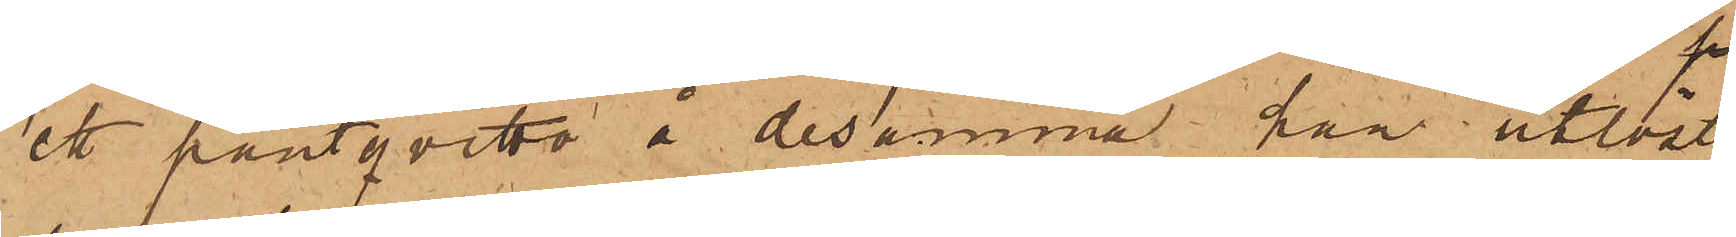ett pantqvitto å desamma han utlöst
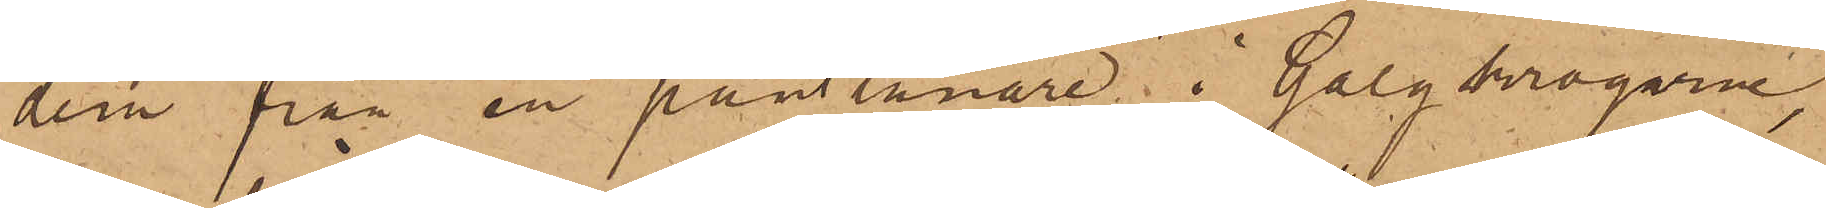dem från en pantlånare i Galgkrogarne,
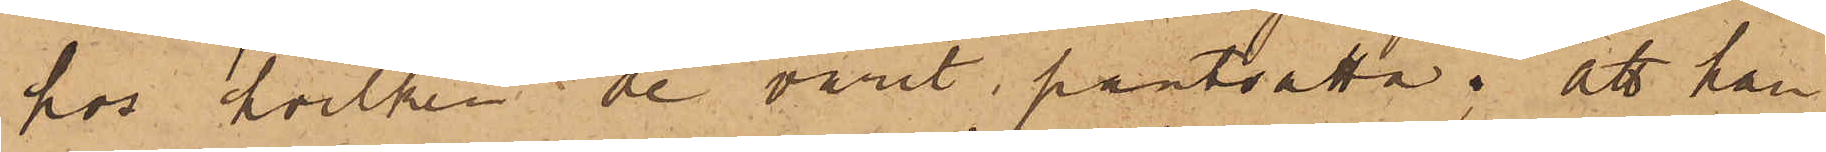hos hvilken de varit pantsatta; att han
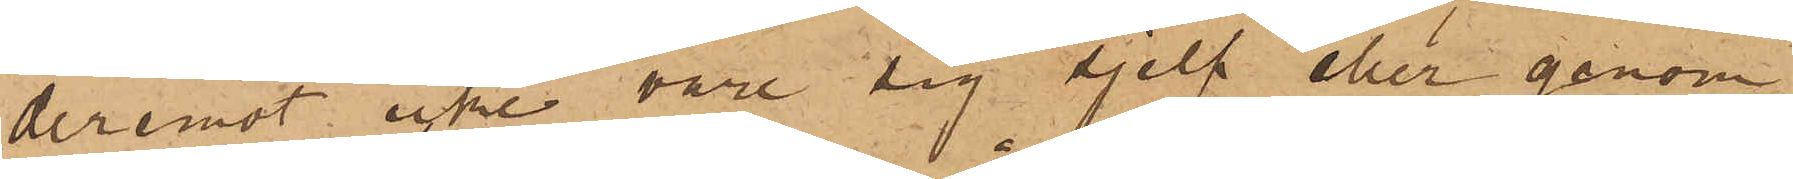deremot icke vare sig sjelf eller genom
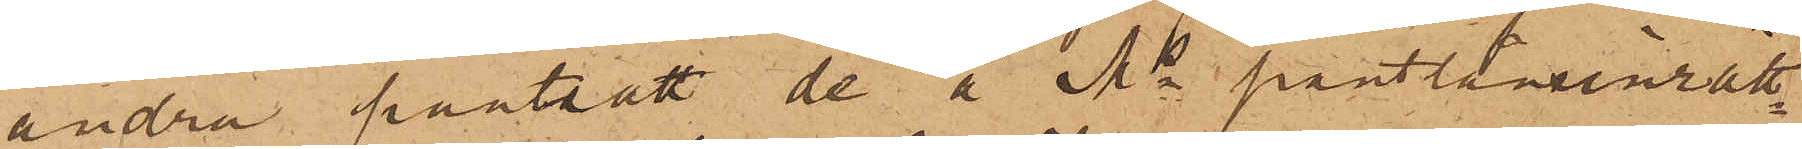andra pantsatt de å Ms pantlåneinrätt¬
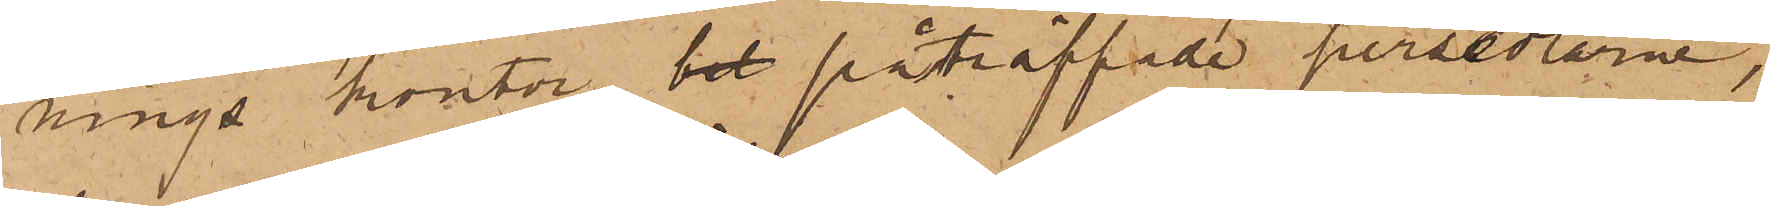nings kontor bet påträffade persedlarne,
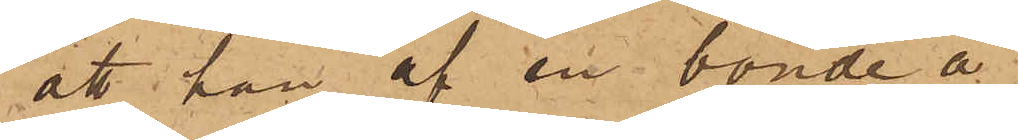att han af en bonde å
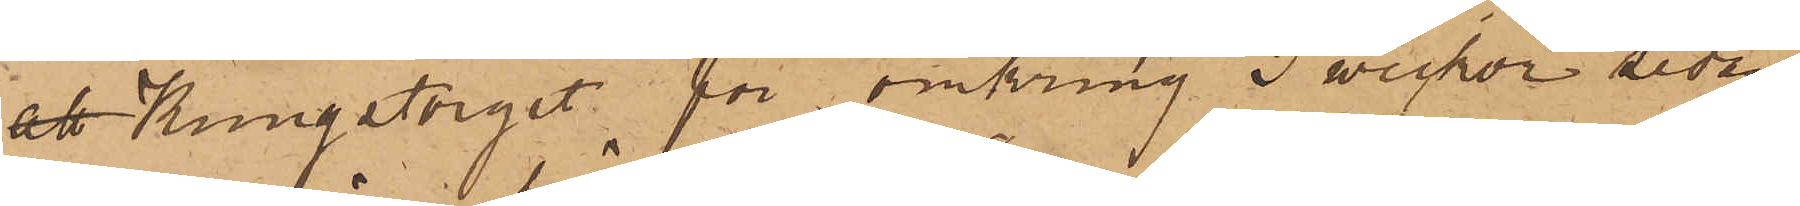att Kungstorget för omkring 3 weckor sedan
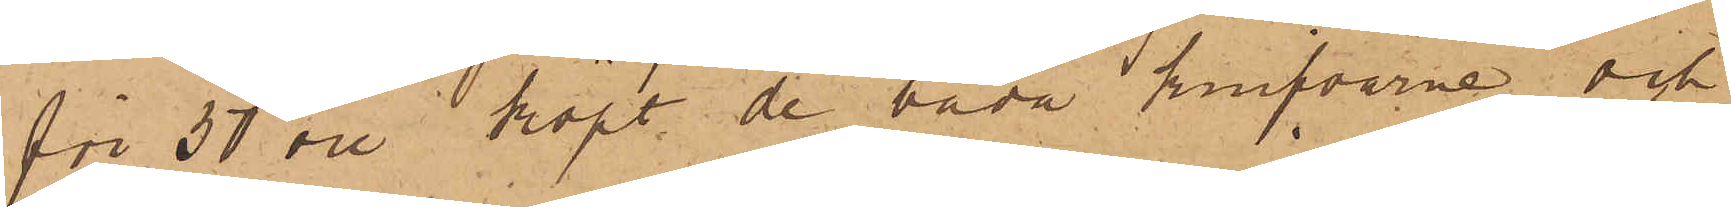för 50 öre köpt de båda knifvarne och
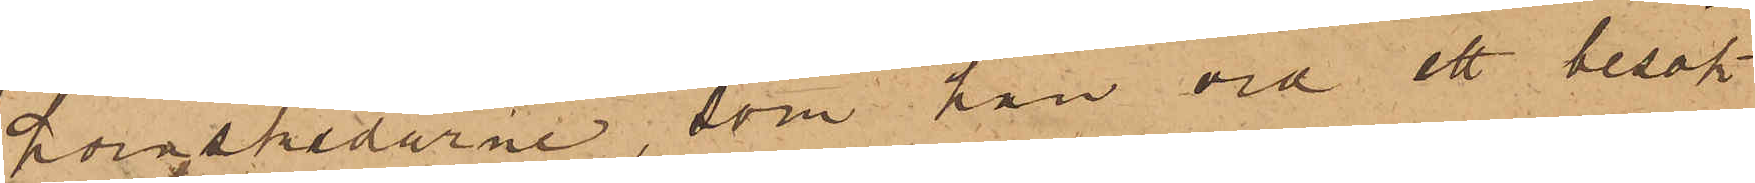hornskedarne, som han vid ett besök
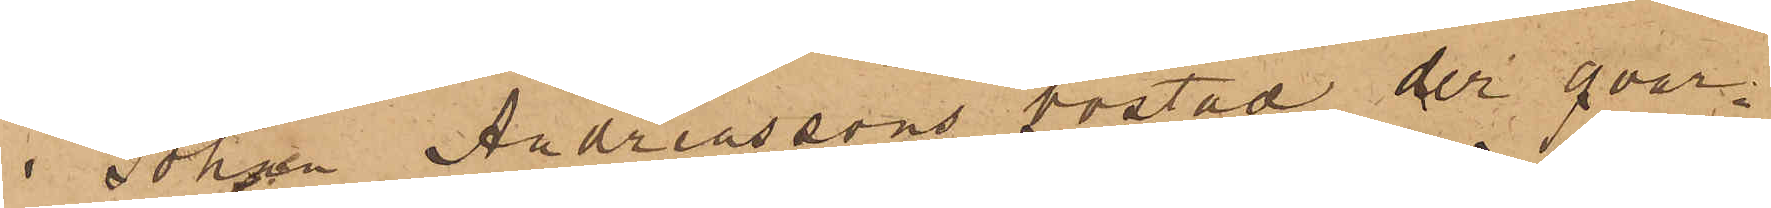i Johan Andreassons bostad der qvar¬
